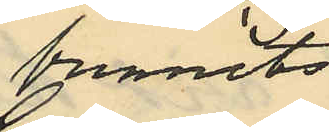funnits
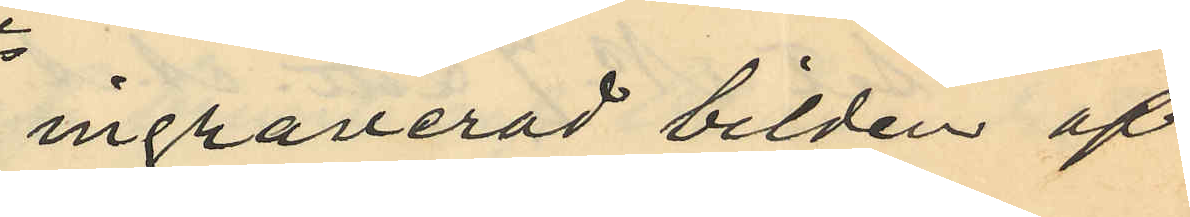ingraverad bilden af
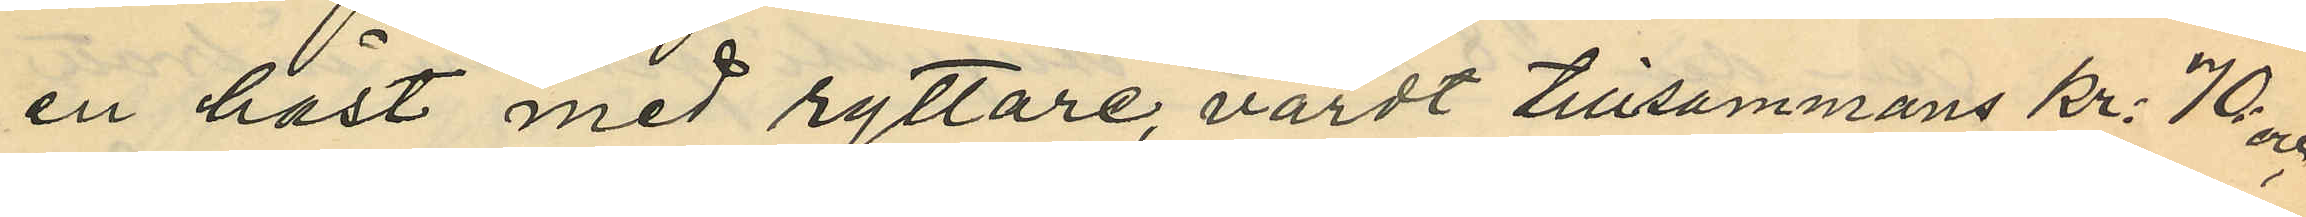en häst med ryttare, värdt tillsammans kr. 70 och
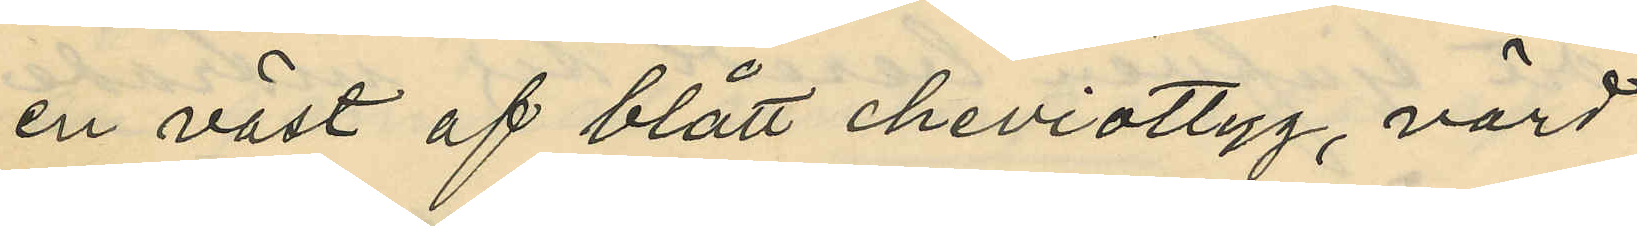en väst af blått cheviottyg, värd
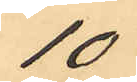10
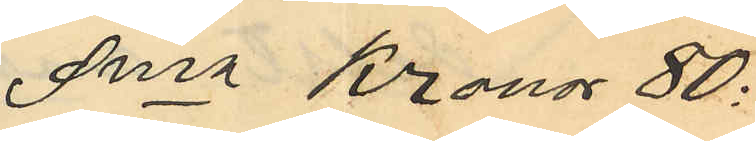Sma Kronor 80:
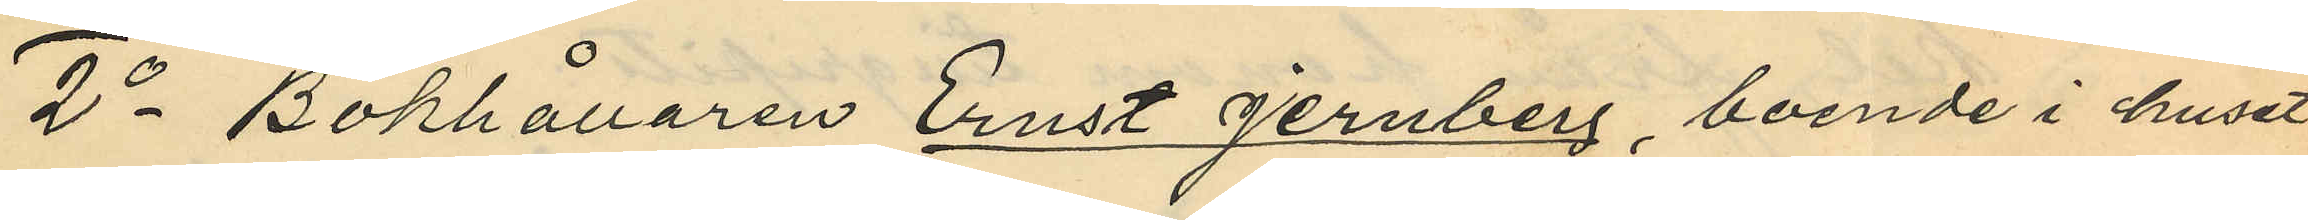2o Bokhållaren Ernst Jernberg, boende i huset
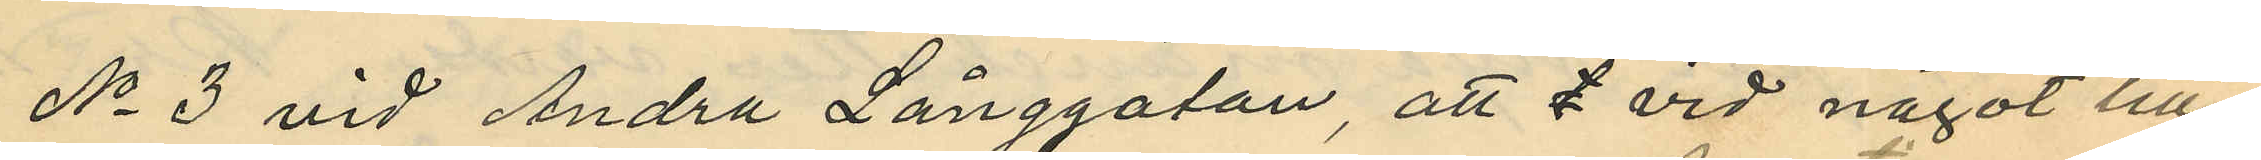No 3 vid Andra Långgatan, att vid något till¬
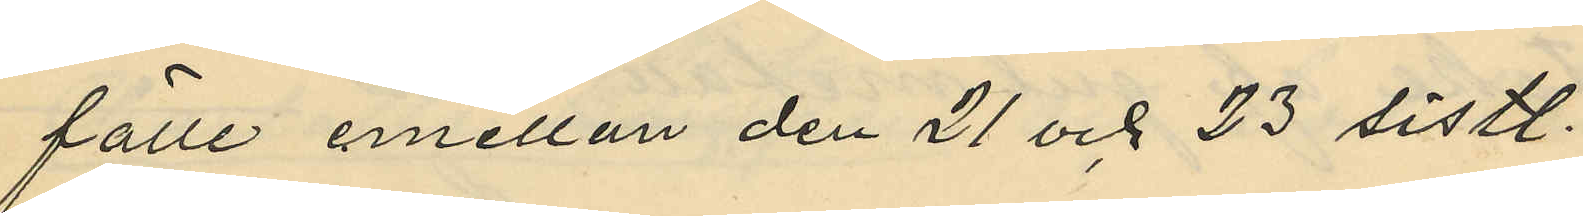fälle emellan den 21 och 23 sistl.
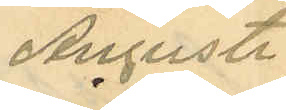Augusti
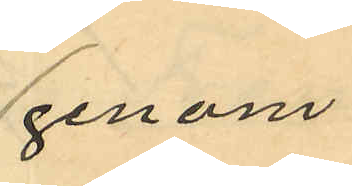genom
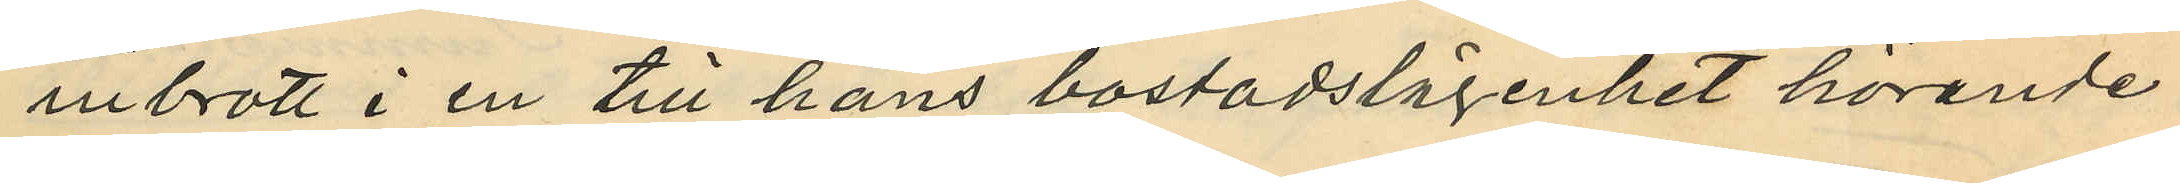inbrott i en till hans bostadslägenhet hörande
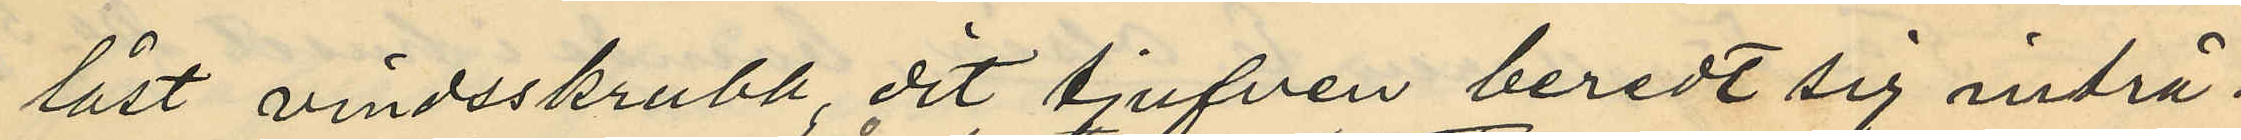låst vindsskrubb dit tjufven beredt sig inträ¬
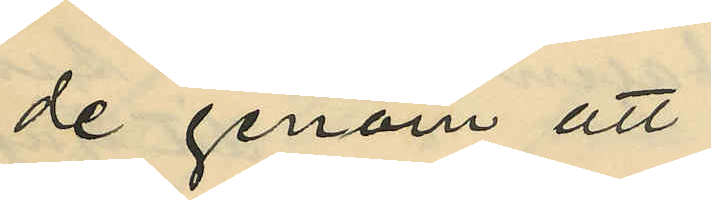de genom att
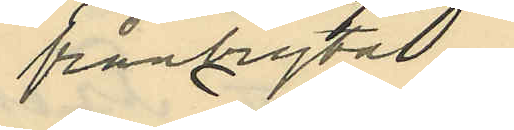frånbryta
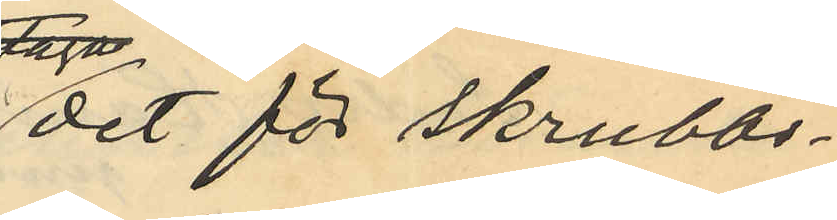det för skrubb¬
